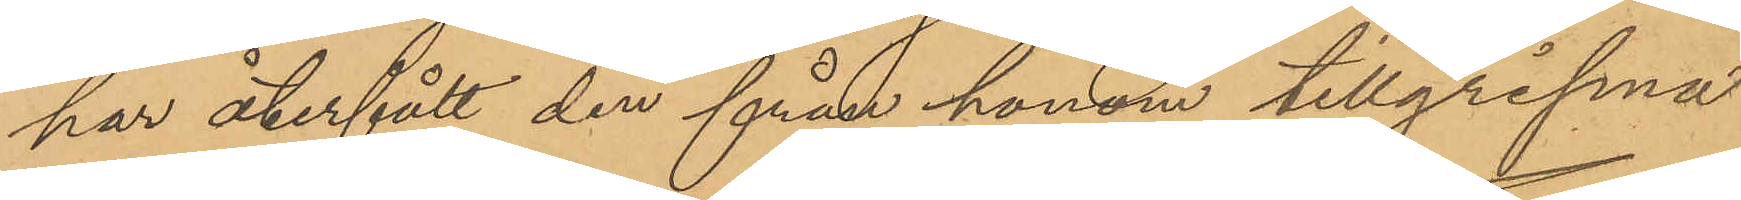har återfått den från honom tillgripna
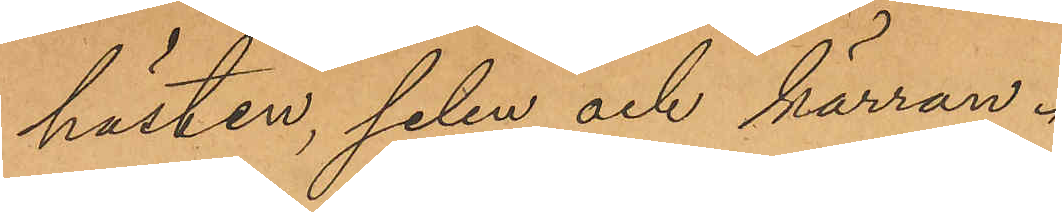hästen, selen och kärran.
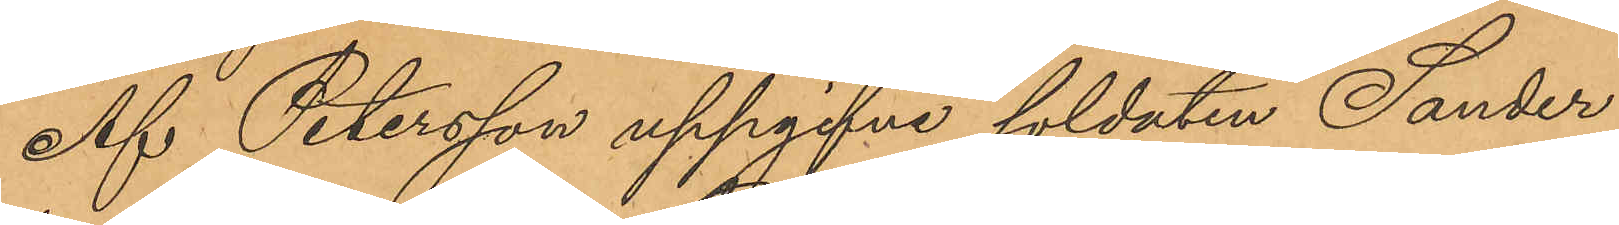Af Petersson uppgifne soldaten Sander
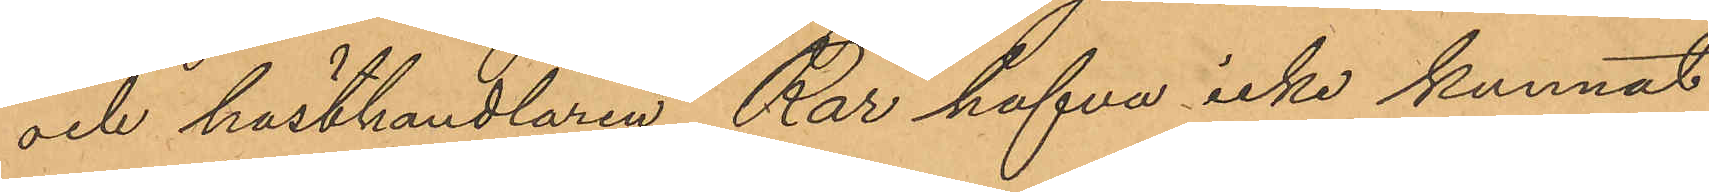och hästhandlaren Rar hafva icke kunnat
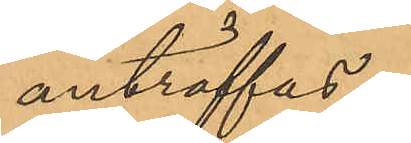anträffas.
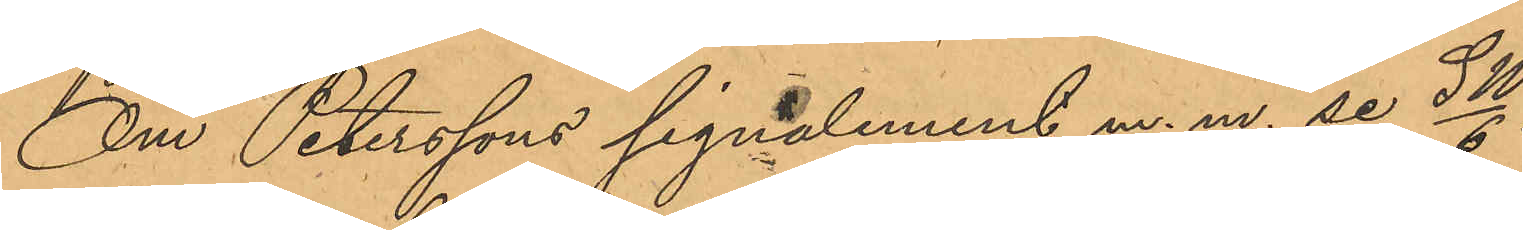Om Peterssons signalement m. m. se SW/6.
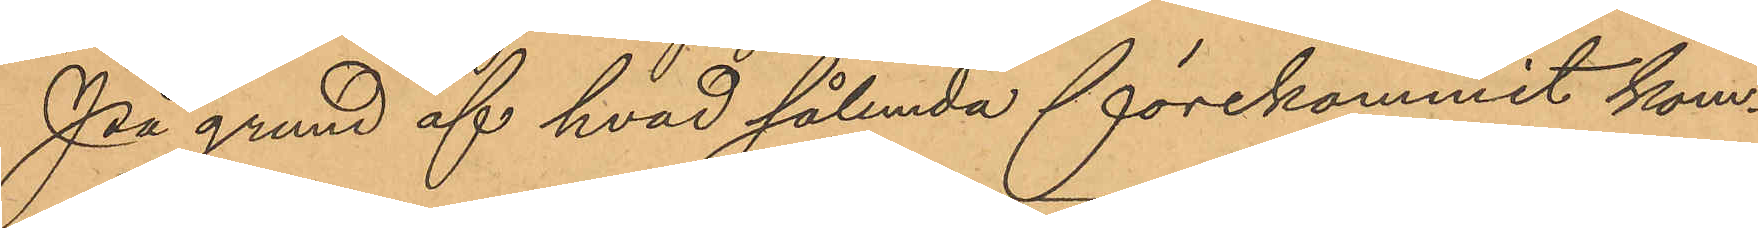På grund af hvad sålunda förekommit kom¬
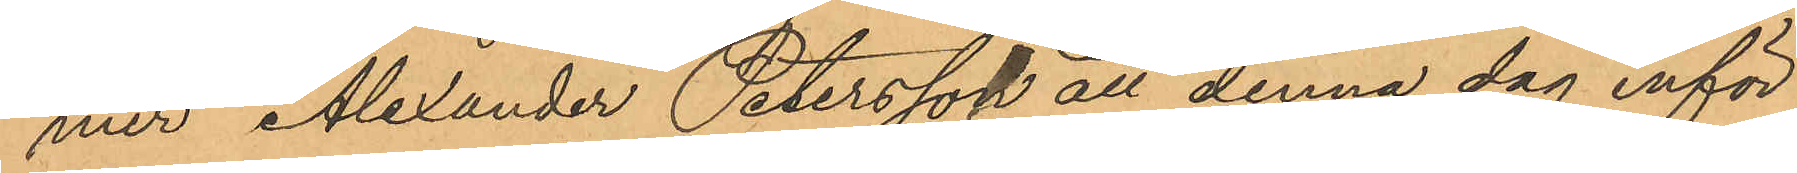mer Alexander Petersson att denna dag inför
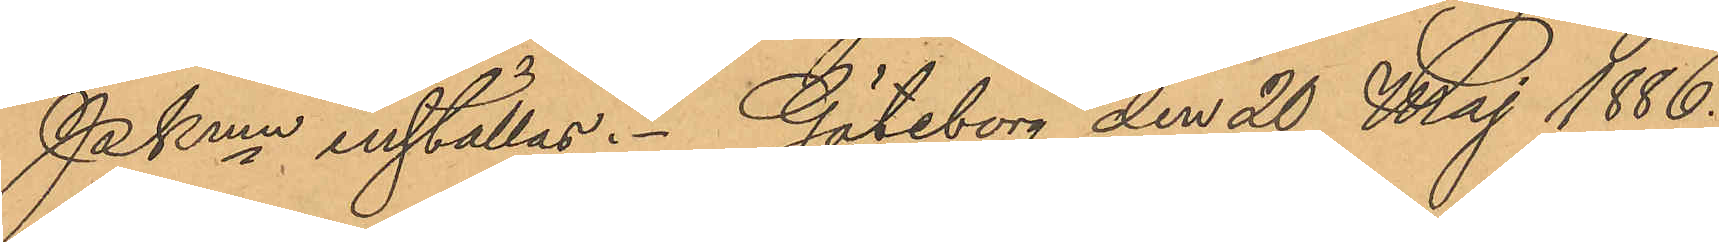Pkmn inställas. Göteborg den 20 Maj 1886.
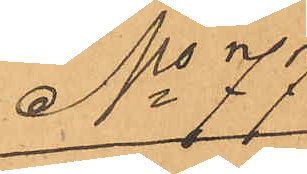No 77
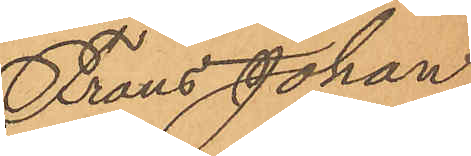Frans Johan
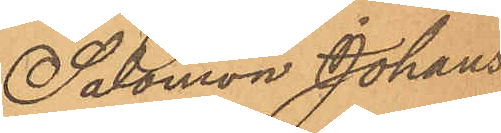Salomon Johans¬
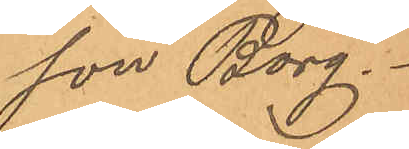son Borg
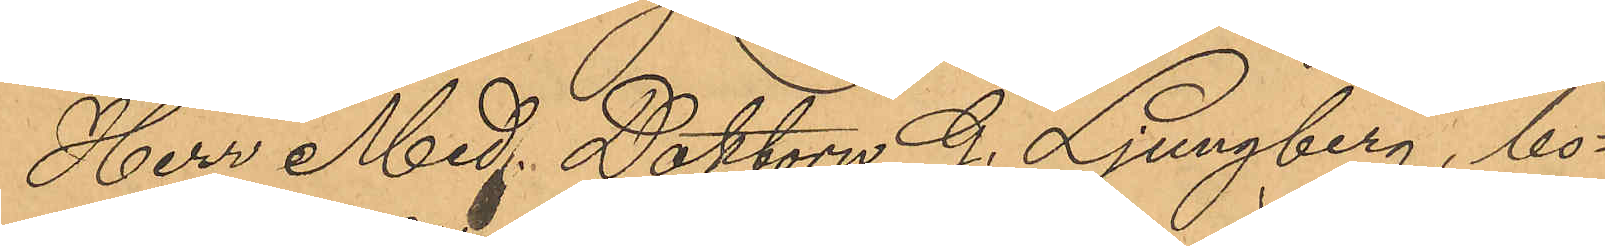Herr Med. Doktorn G. Ljungberg, bo¬
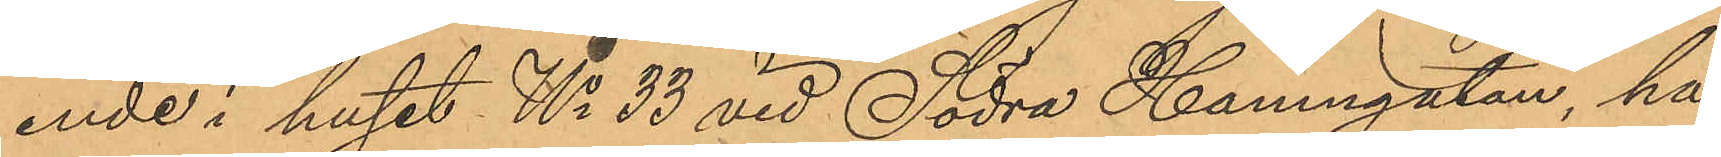ende i huset No 33 vid Södra Hamngatan, har
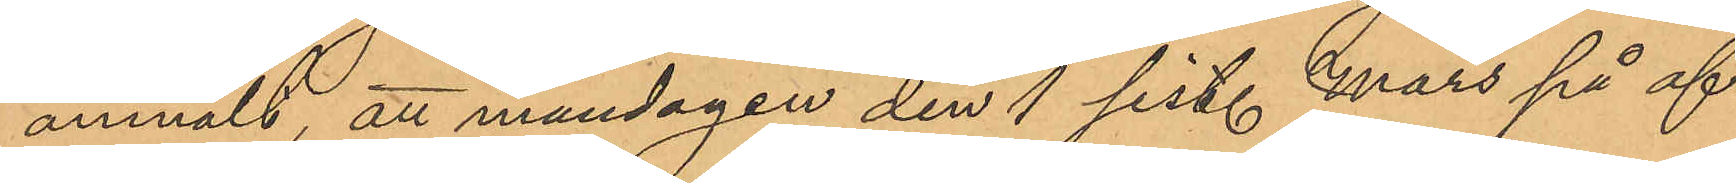anmält, att måndagen den 1 sist. Mars på af¬
